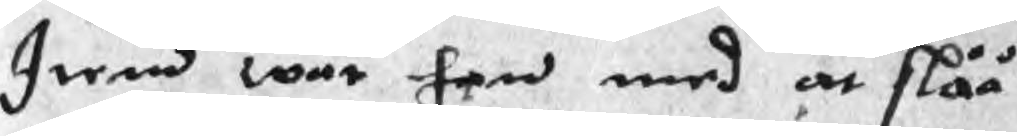Item war han med at slåå
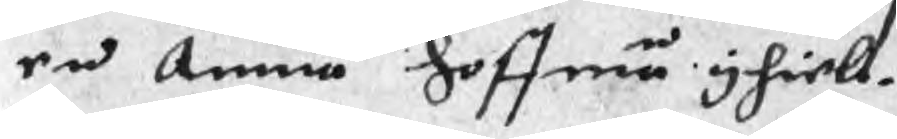en Annan hoffman yhiell.
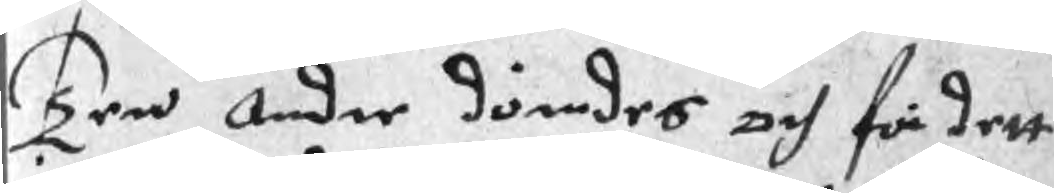Ten Andre dömdes och för dett
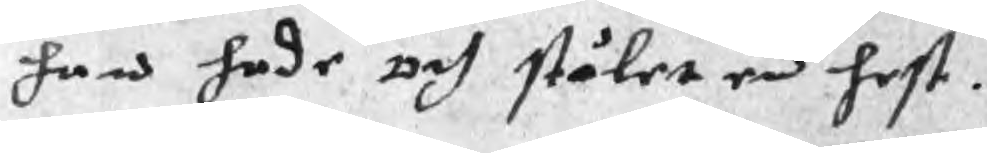han hade och stålet en hest.
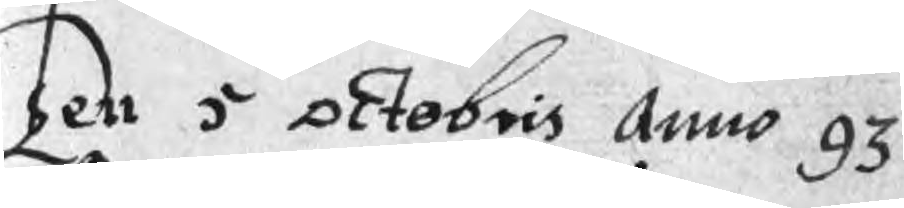Ten 5 Octobris Anno 93
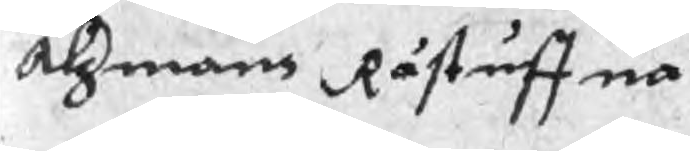Alzmans Råstuffua
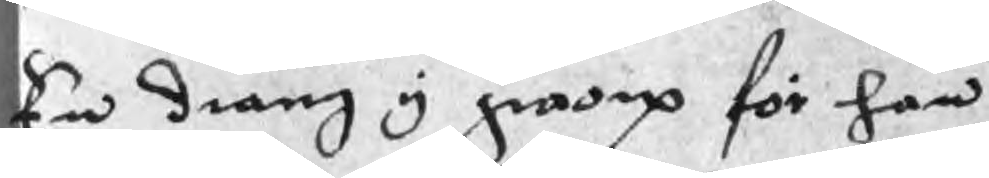En dräng y groop för han
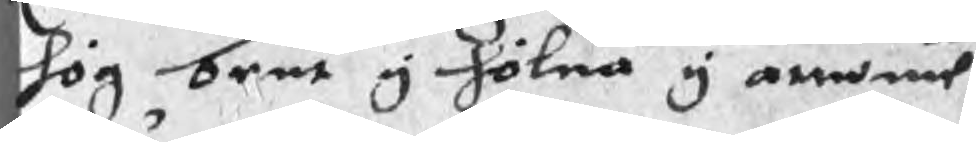hög bent y hölna y armmen
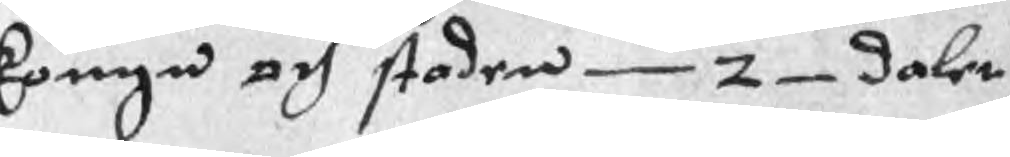kougn och staden 2 daler
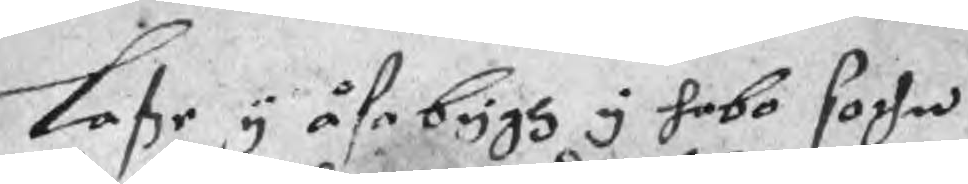Laße y åsabygh y hobo sochn
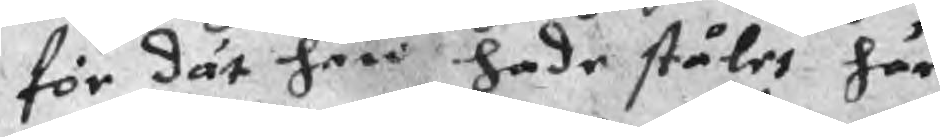för dät han hade stålet här
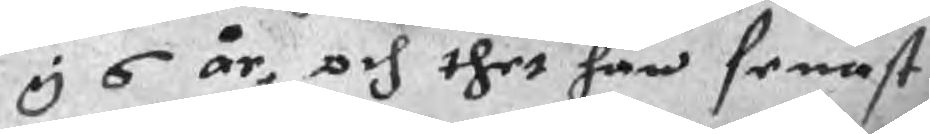y 6 år, och thet han senast
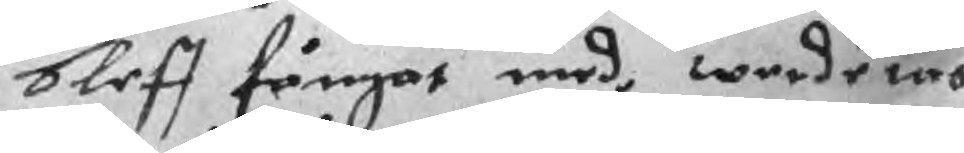bleff fångat med, werderas
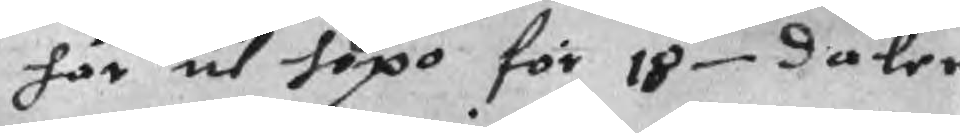här til hopo för 18 daler
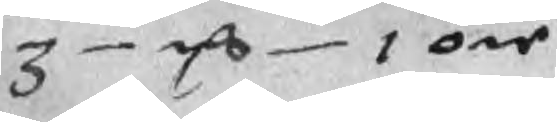3 mC 1 öre
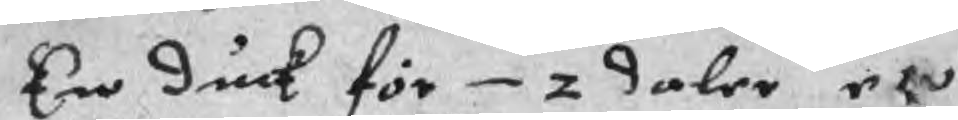En duk för 2 daler en
